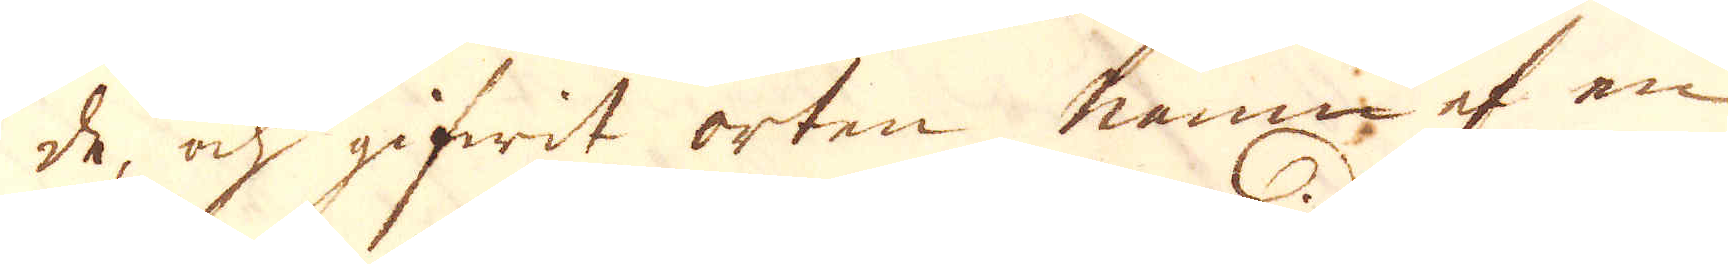de, ock gifwit orten namn af en
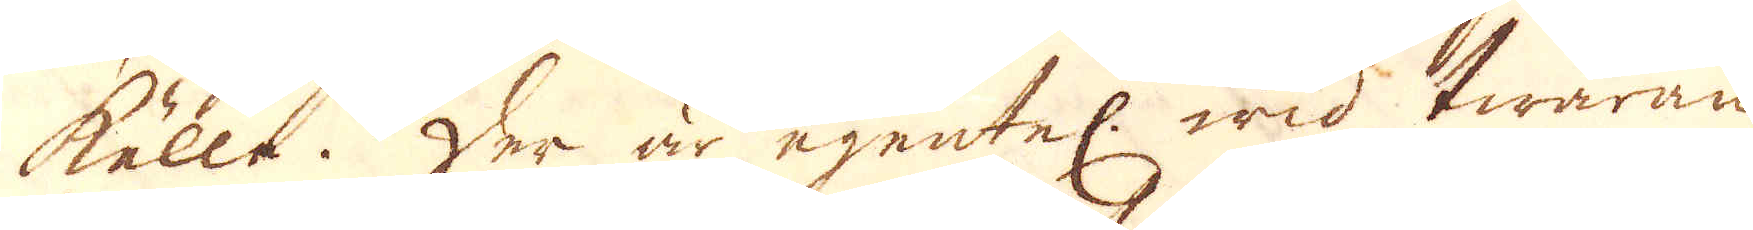källa. Der är egentel. wid twäran
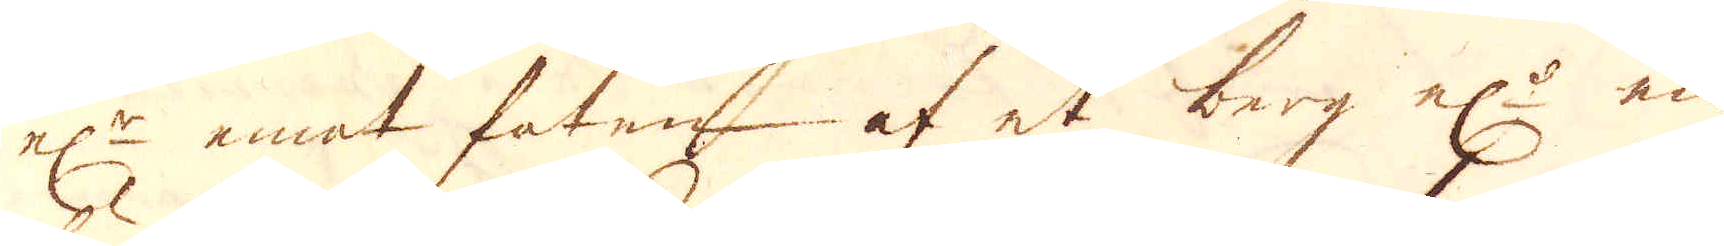el:r emot foten af et berg el:r en
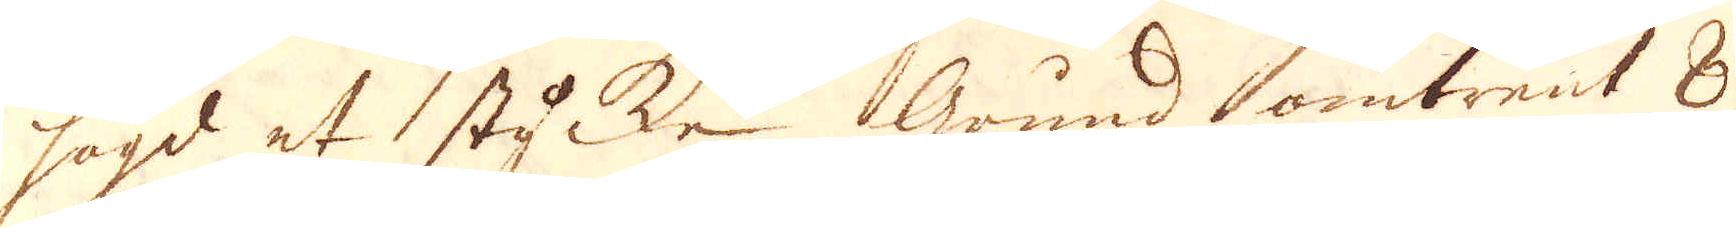högd et stycke Grund omtrent 8
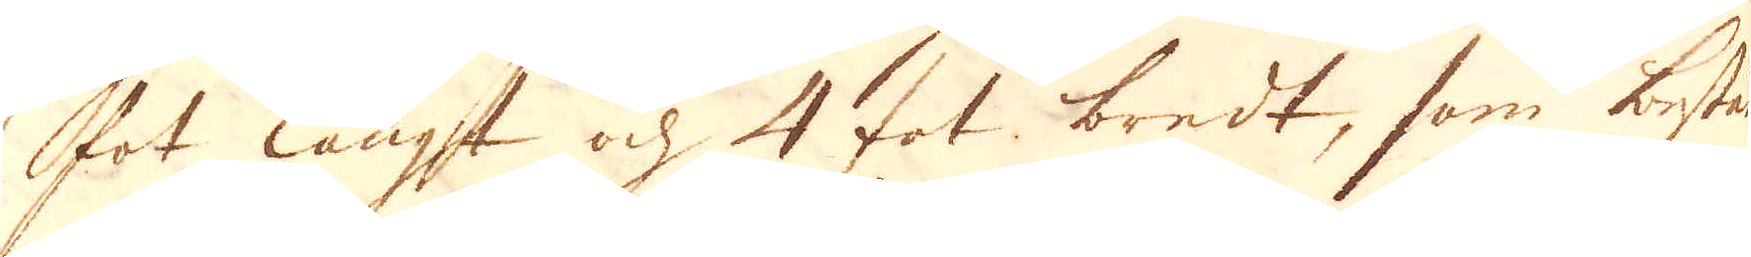fot långt och 4 fot bredt, som bestå
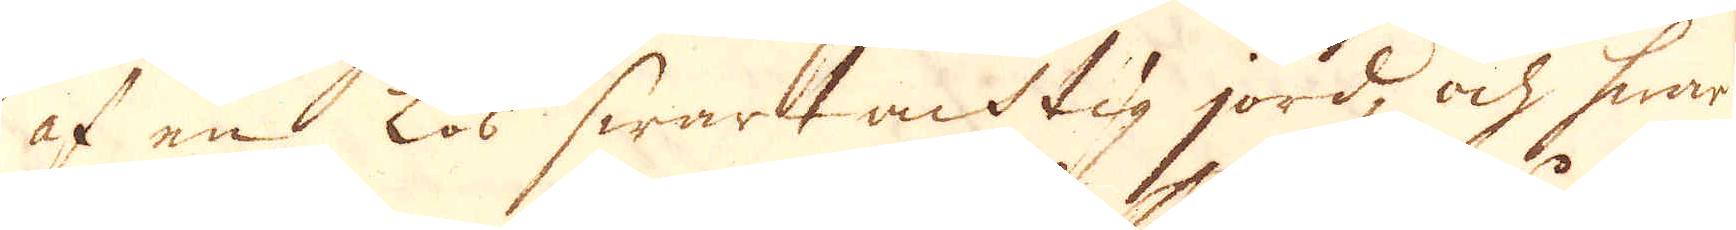af en Lös swart acktig jord, och hwar-
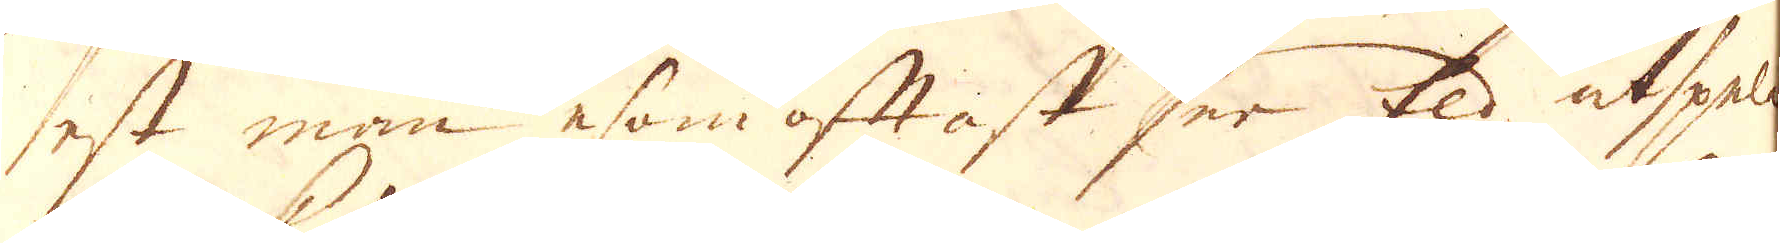est man esom oftast ser Eld utspela
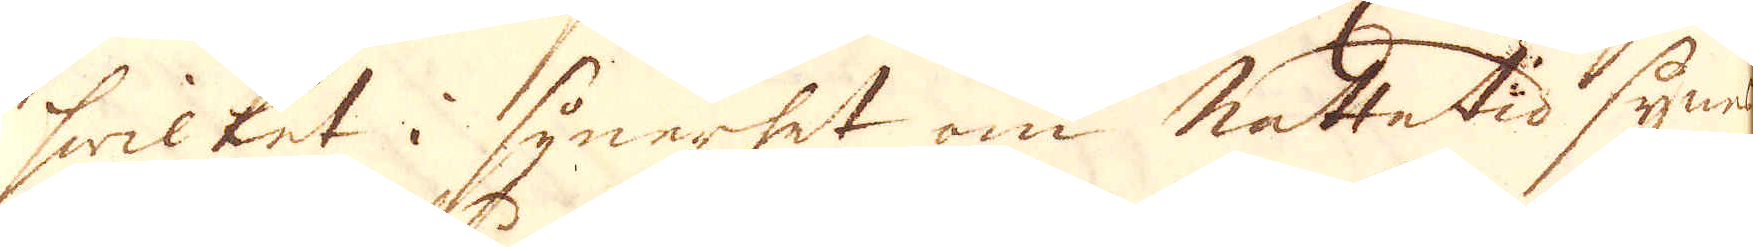hwilket i synerhet om nattetid synes
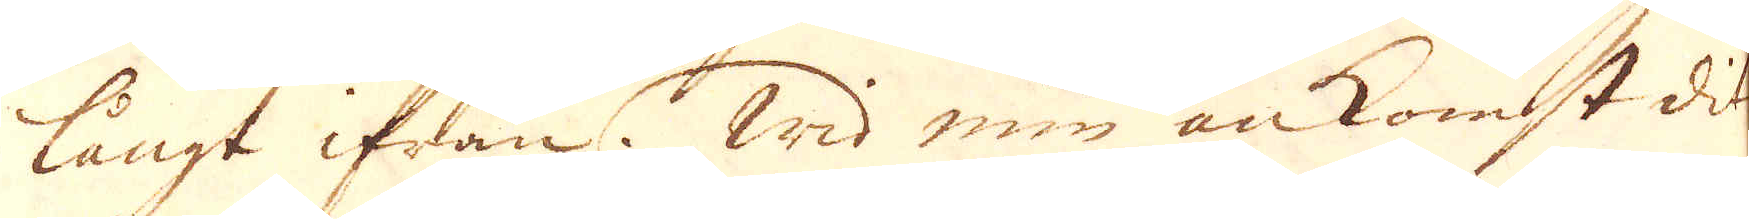långt ifrån. Wid min ankomst dit
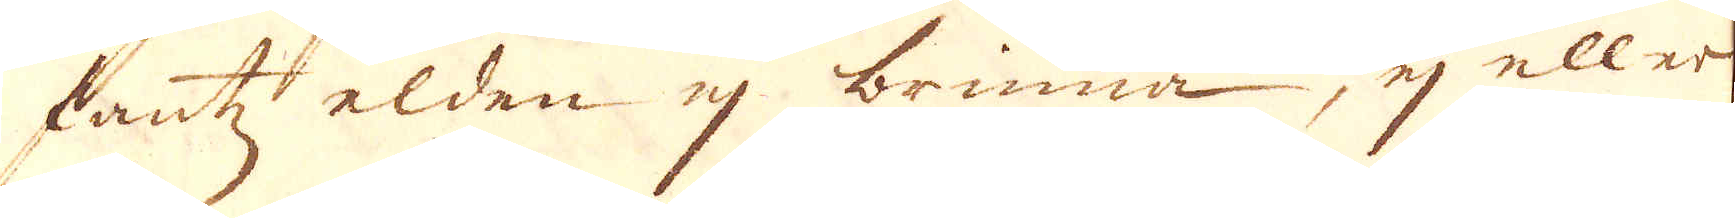fantz elden ej brinna, ej eller
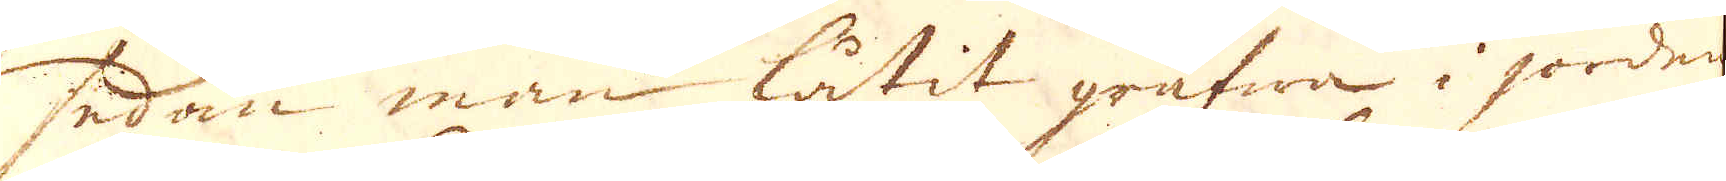sedam man låtit gräfwa i jorden
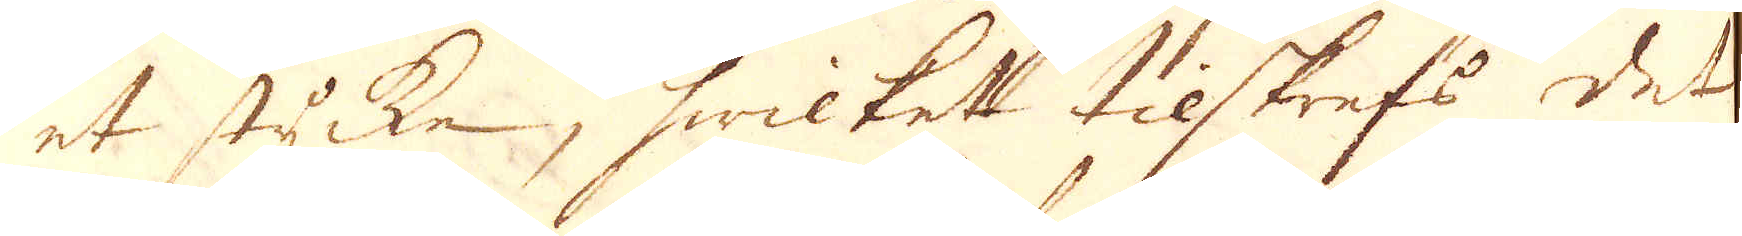et stycke, hwilket tilskrefs det
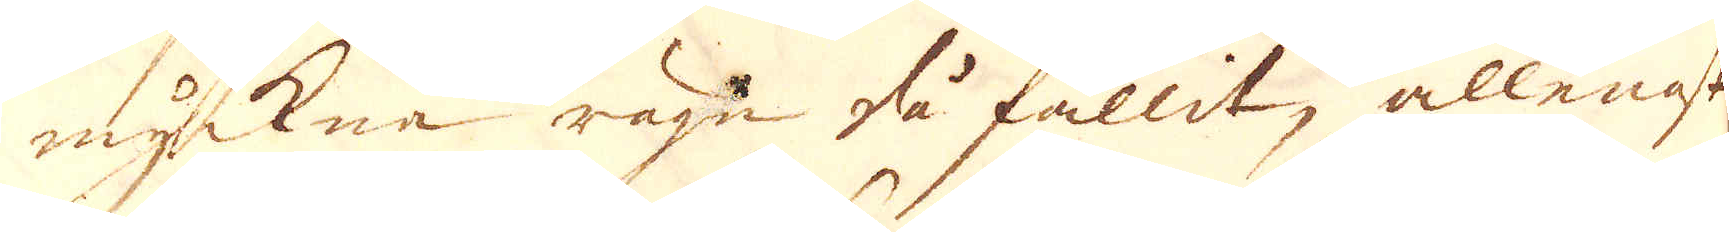myckna rägn då fallit, allenast
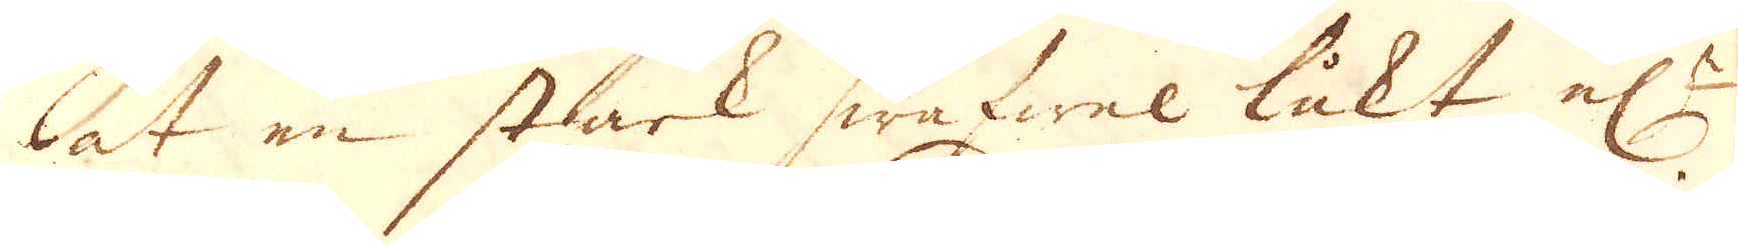at en stark swafwel lukt el:r
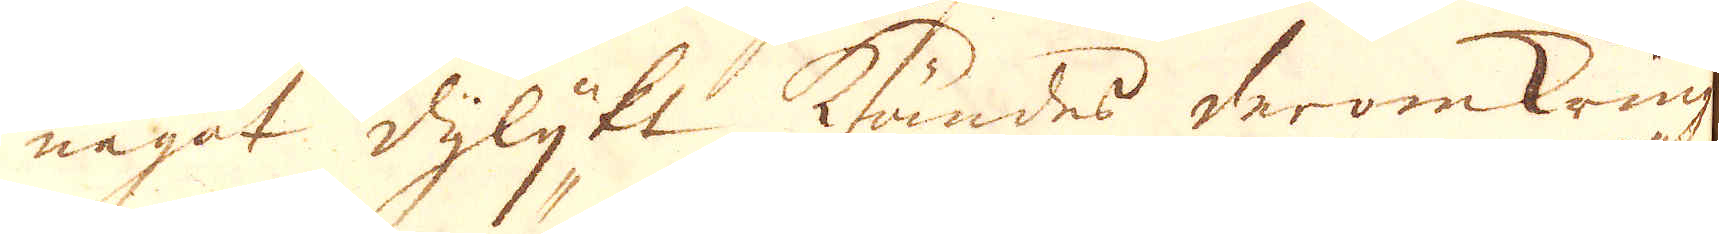något dylijkt kändes deromkring.
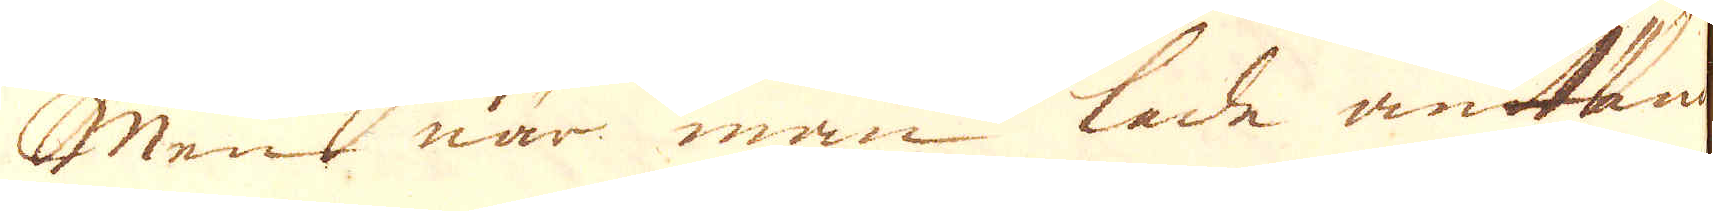Men när man lade antänd
